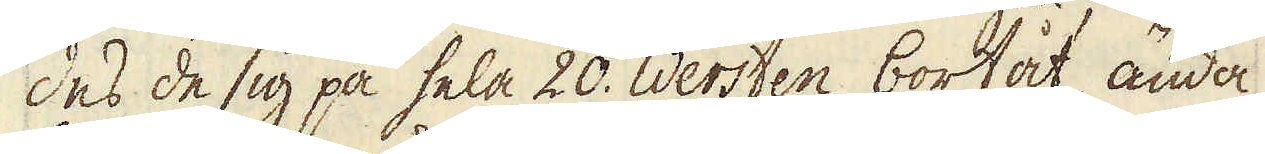des de sig på hela 20. Wersten bortåt ända
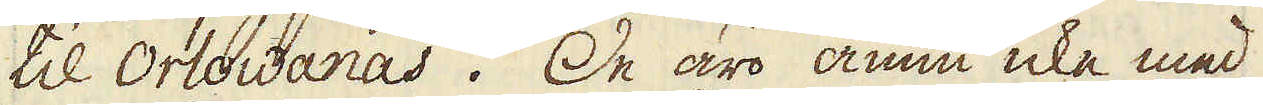til Ortowanås. De äro ännu icke med
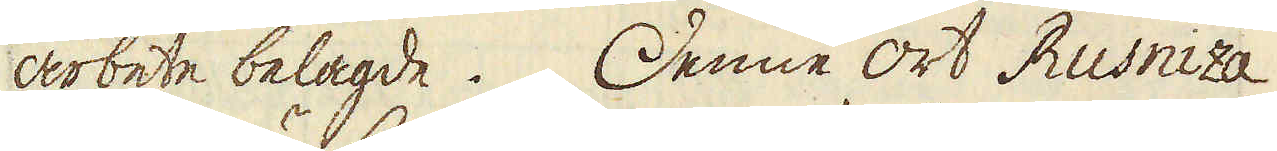arbete belagde. Denne ort Rusniza
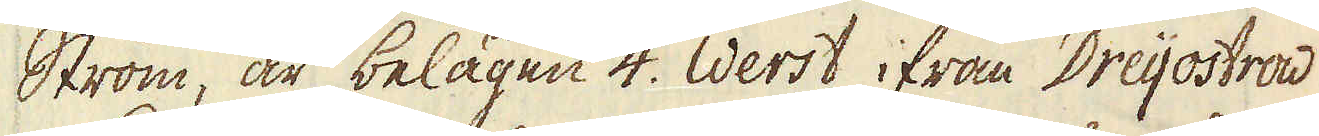Ström, är belägen 4. Werst ifrån Dreijostrad
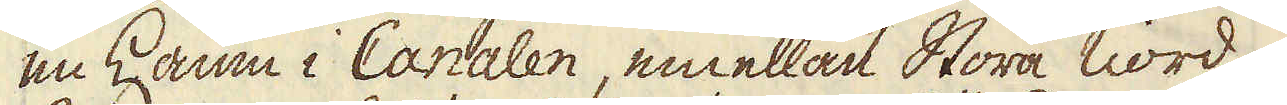en hamn i Canalen, emellan Stora nord-
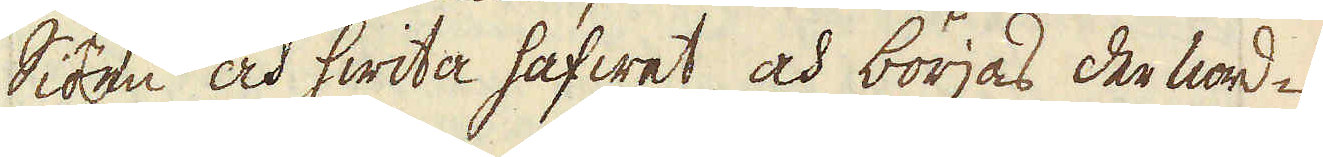siöen och hwita hafwet, och börjas der nord-
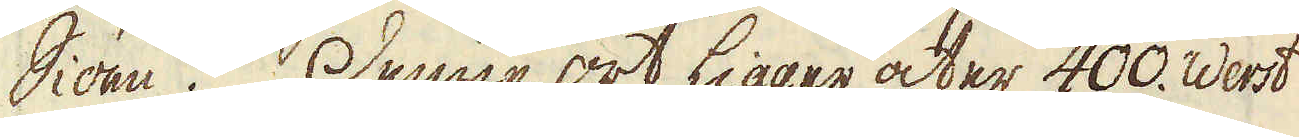Siöen. Denne ort ligger åter 400. Werst
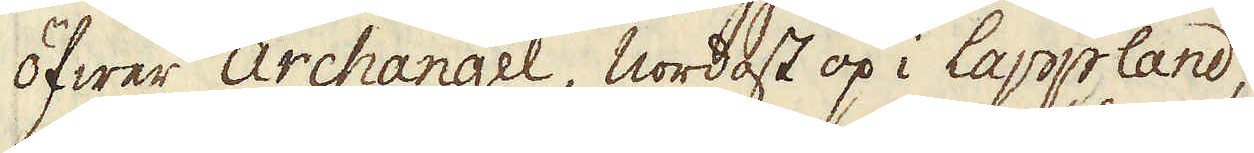öfwer Archangel, nordost op i Lappland,
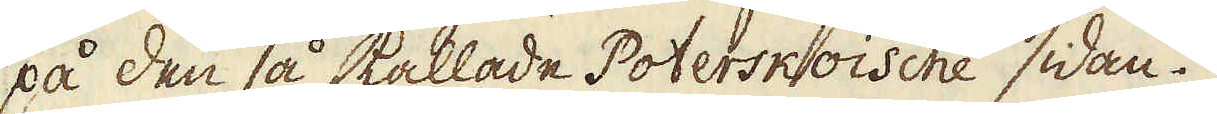på den så kallade Poterskoische sidan.
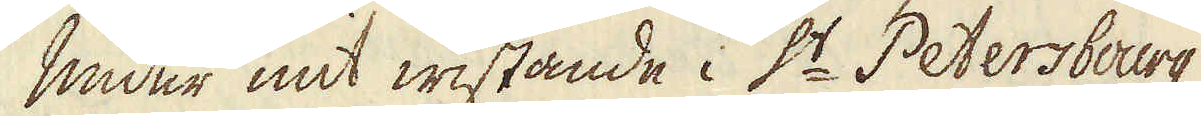Under mit wistande i S:t Petersbourg,
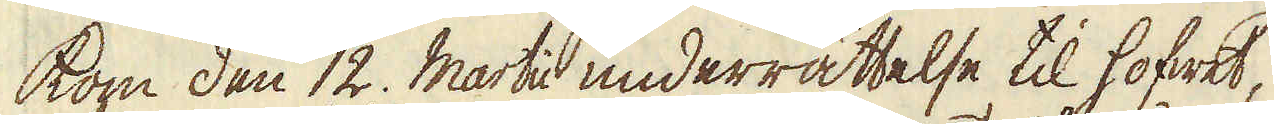kom den 12. Martii underrättelse til hofwet,
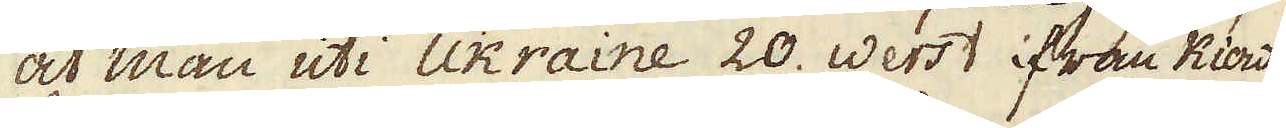at man uti Ukraine 20. Werst ifrån Kiow
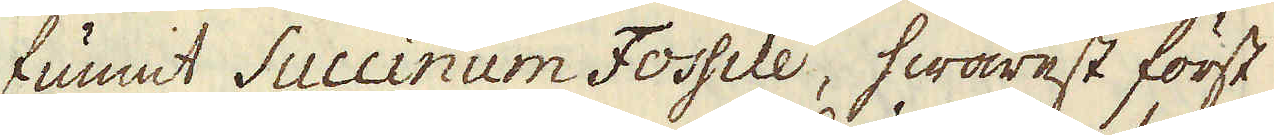funnit Succinum Fossile, hwarest först
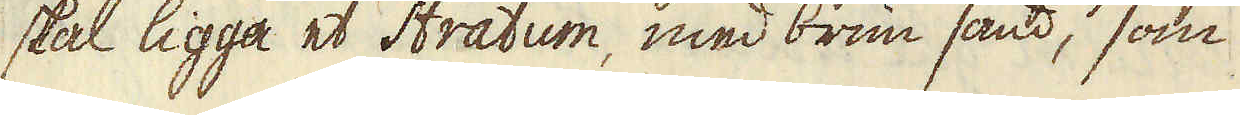skal ligga et Stratum, med brun sand, som
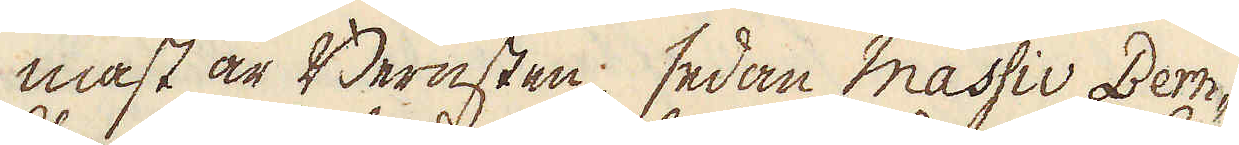mäst är Bernsten, sedan massiv Bern-
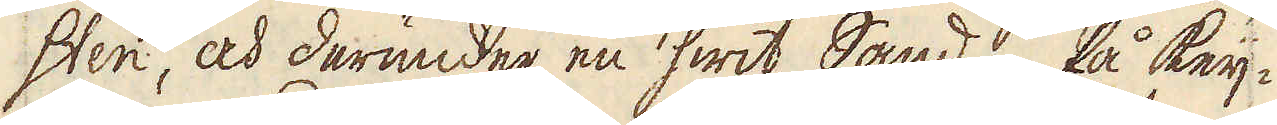sten, och derunder en hwit Sand. På Keij-
